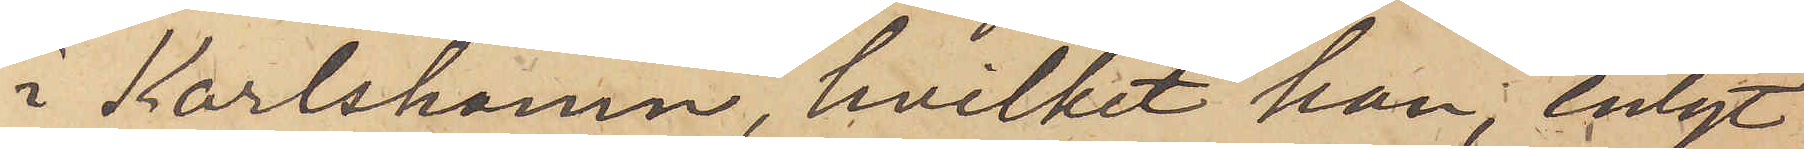i Karlshamn, hvilket han, enligt
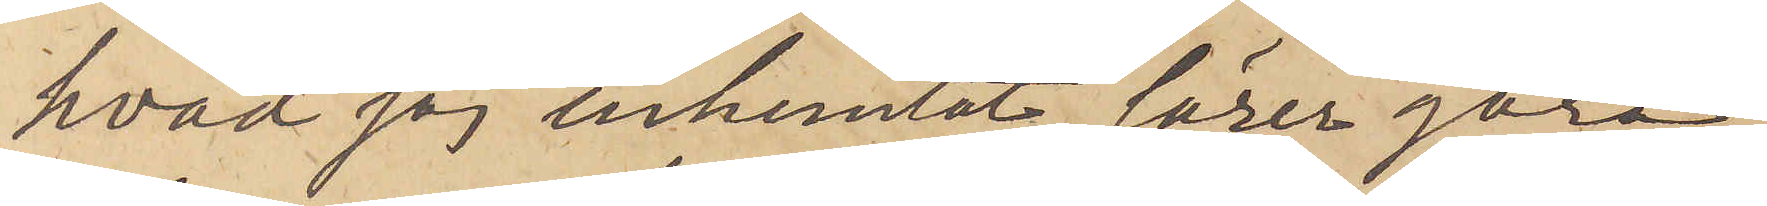hvad jag inhemtat, lärer göra,
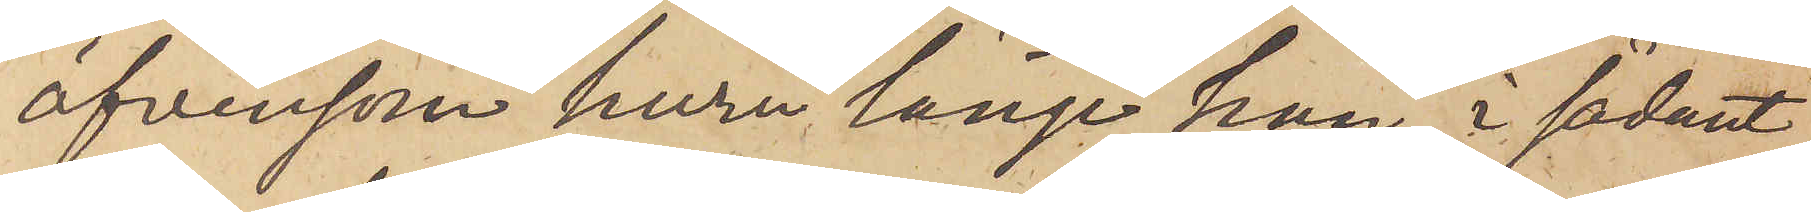äfvensom huru länge han, i sådant
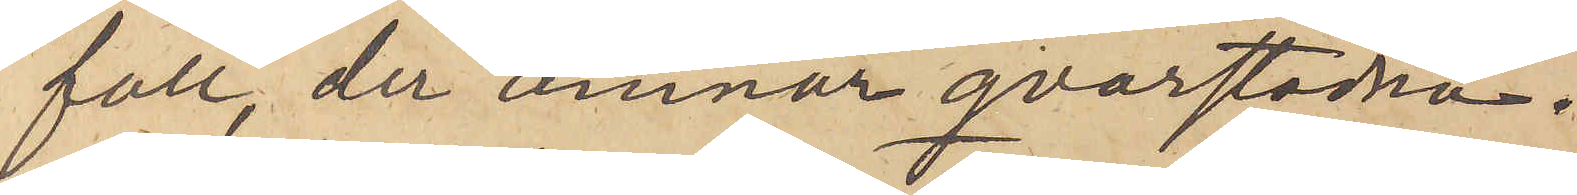fall, der ämnar qvarstanna.
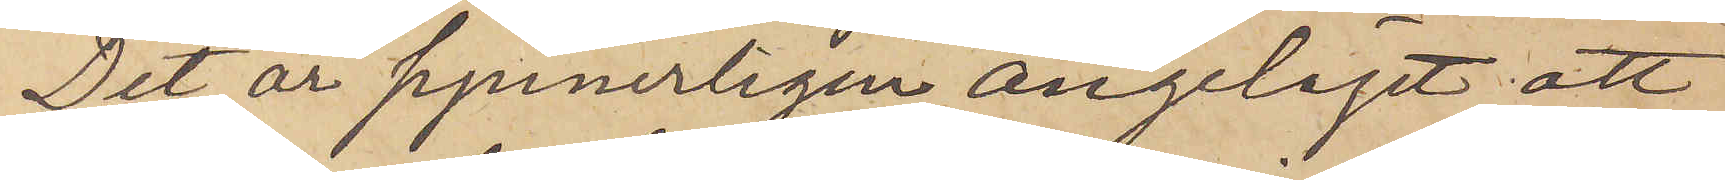Det är synnerligen angeläget, att
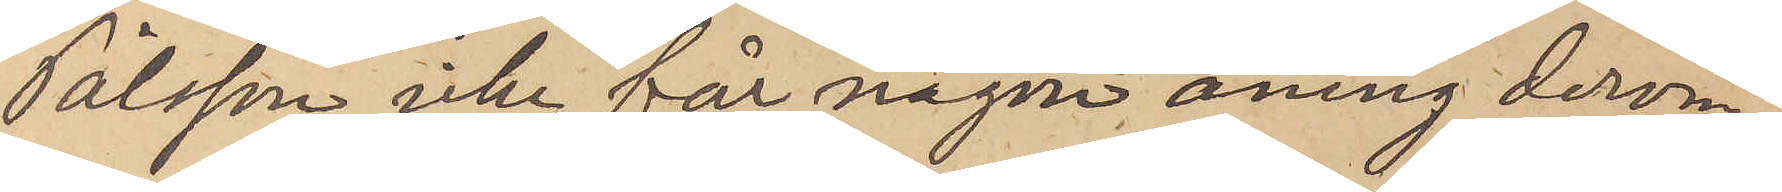Pålsson icke får någon aning derom,
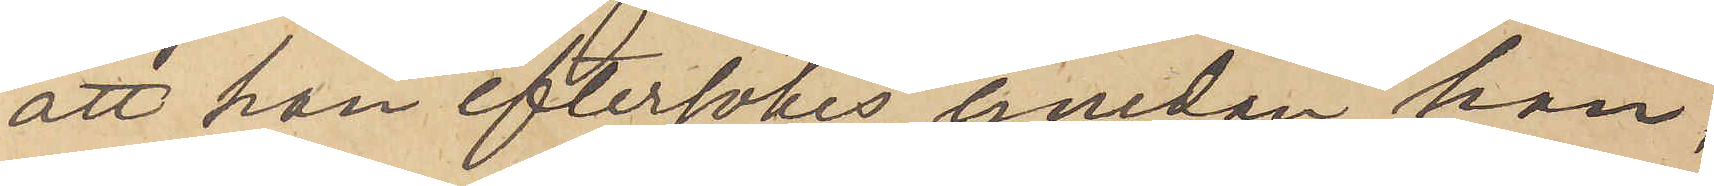att han eftersökes, emedan han,
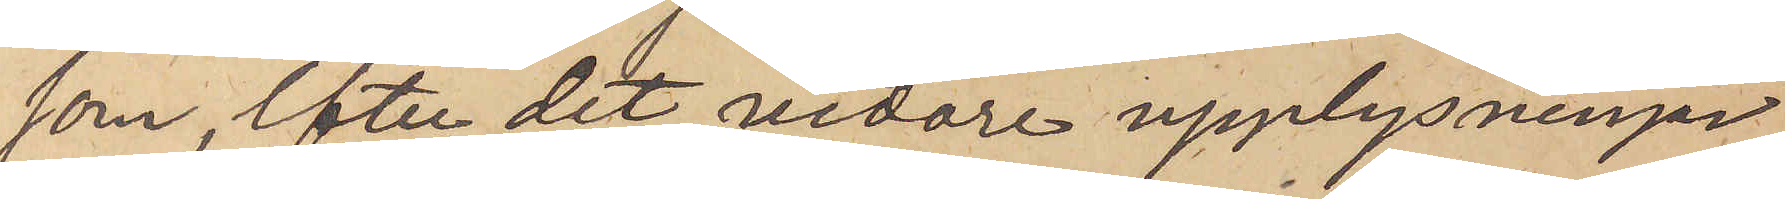som, efter det vidare upplysningar
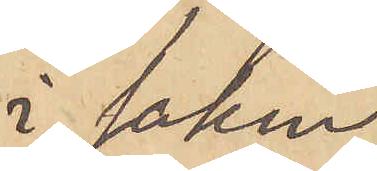i saken
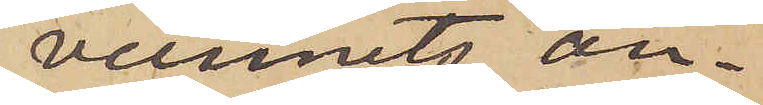vunnits, an¬
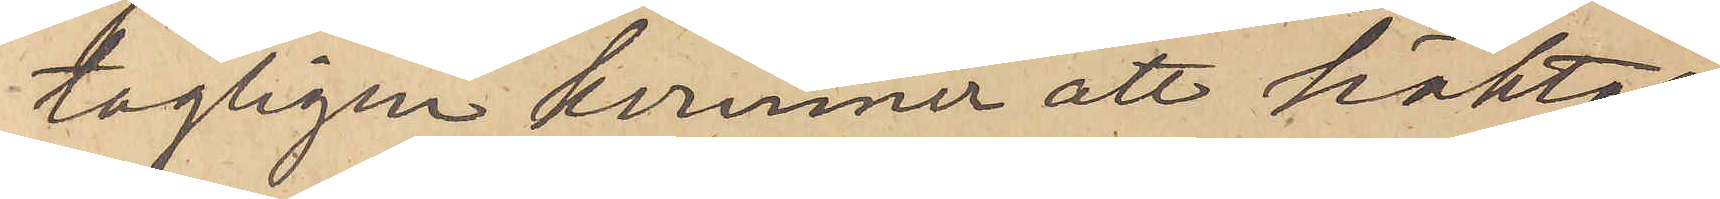tagligen kommer att häktas,
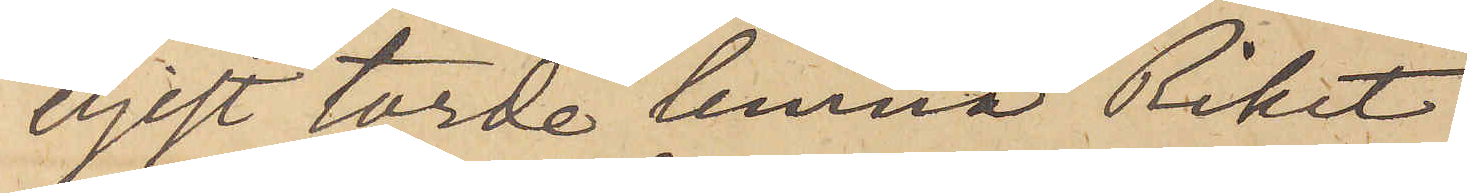eljest torde lemna Riket.
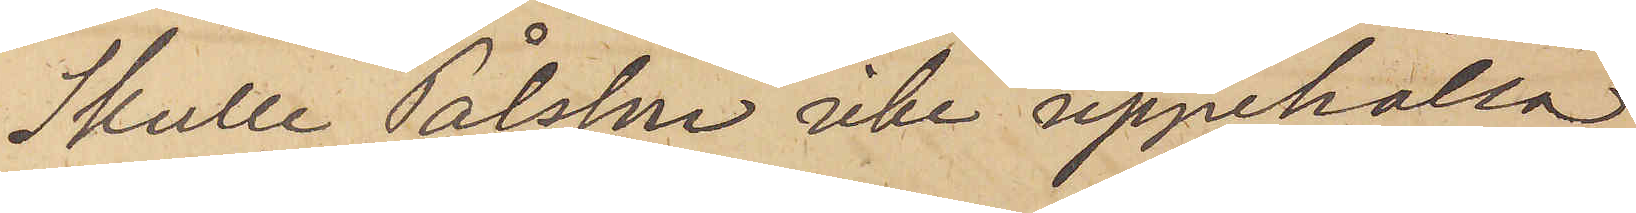Skulle Pålsson icke uppehålla
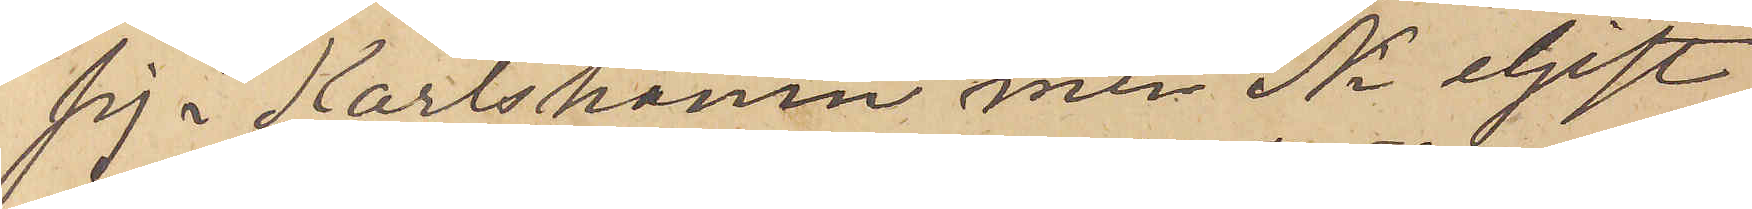sig i i Karlshamn men Ni eljest
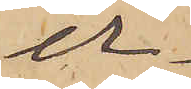er¬
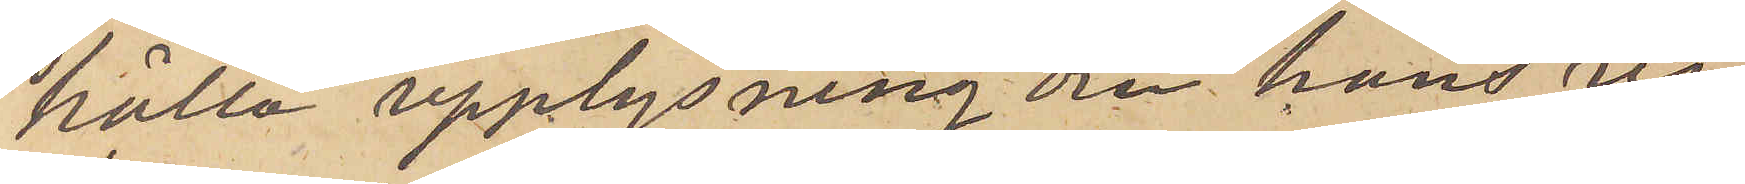håller upplysning om hans vi¬
